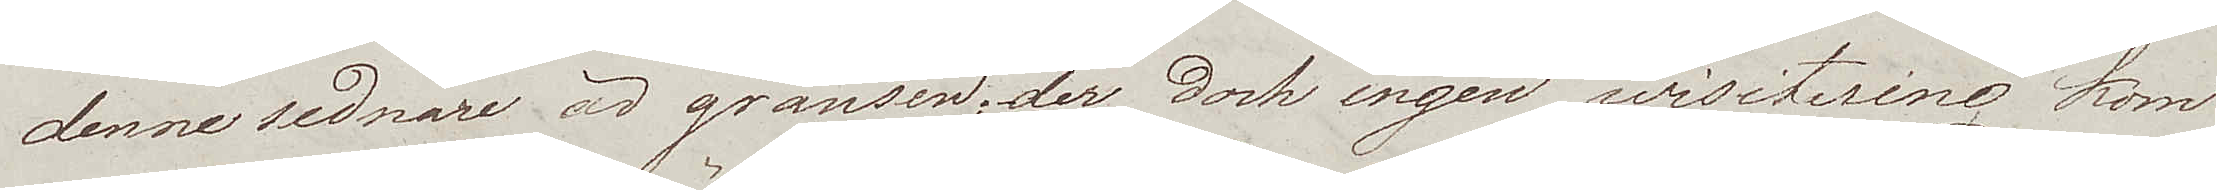denne sednare är gränsen; der dock ingen wisitering kom
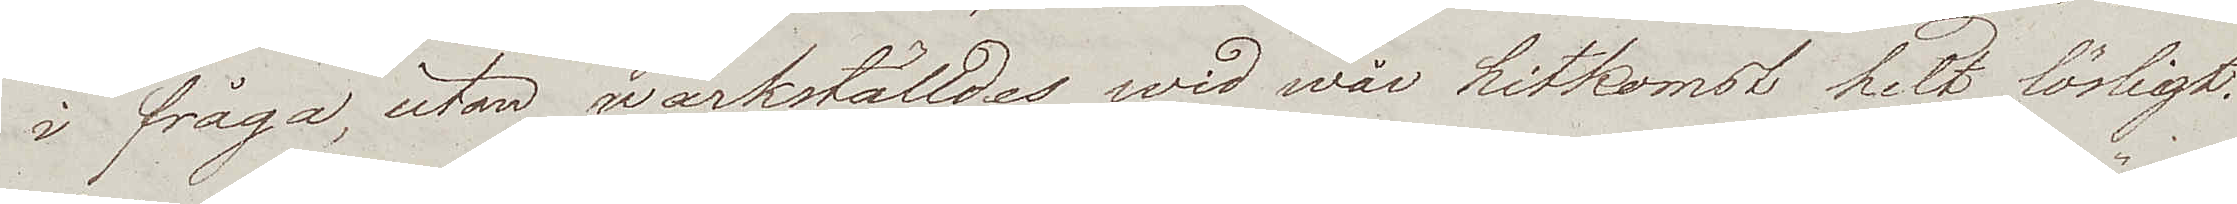i fråga, utan wärkställdes wid wår hitkomst helt lösligt.
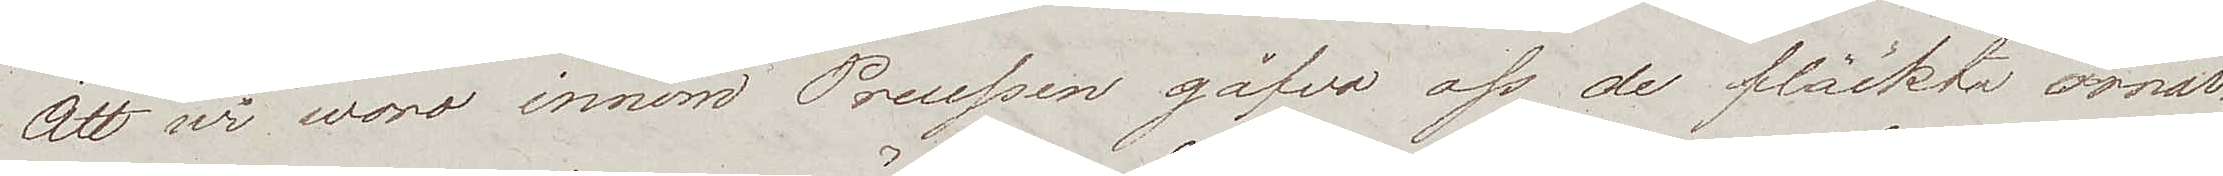Att wi woro innom Preussen gåfvo oss de fläckta örnar¬
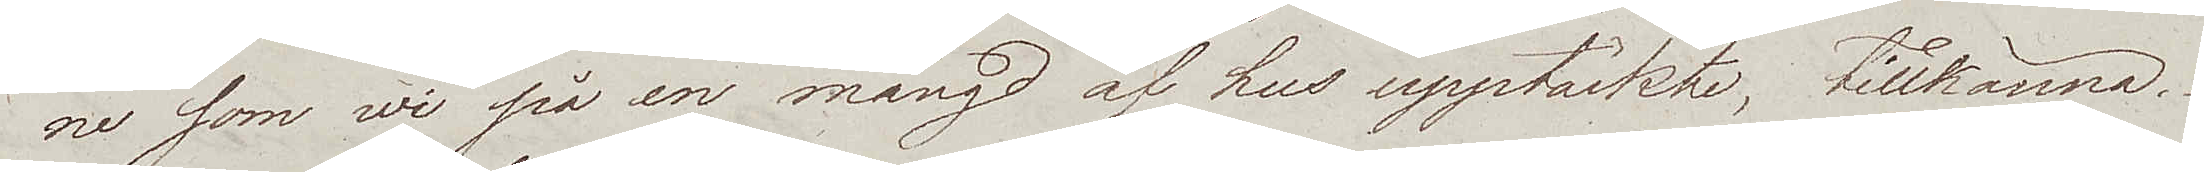ne som wi på en mängd af hus upptäckte, tillkänna.
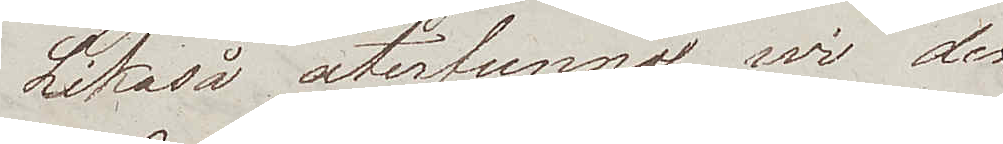Likaså återfunno wi de
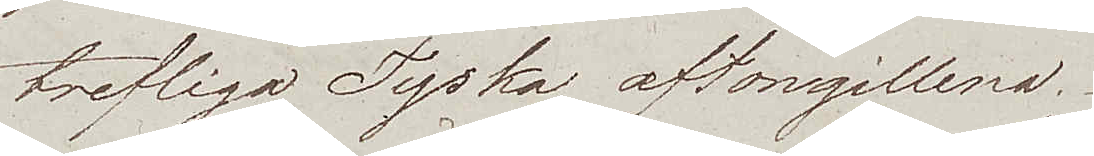trefliga Tyska aftongillena.
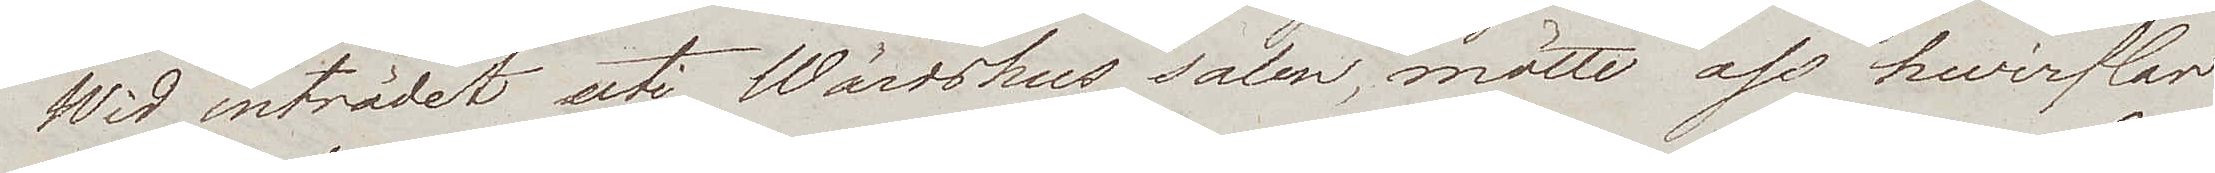Wid inträdet uti Wärdshus salen, mötte oss hvirflar
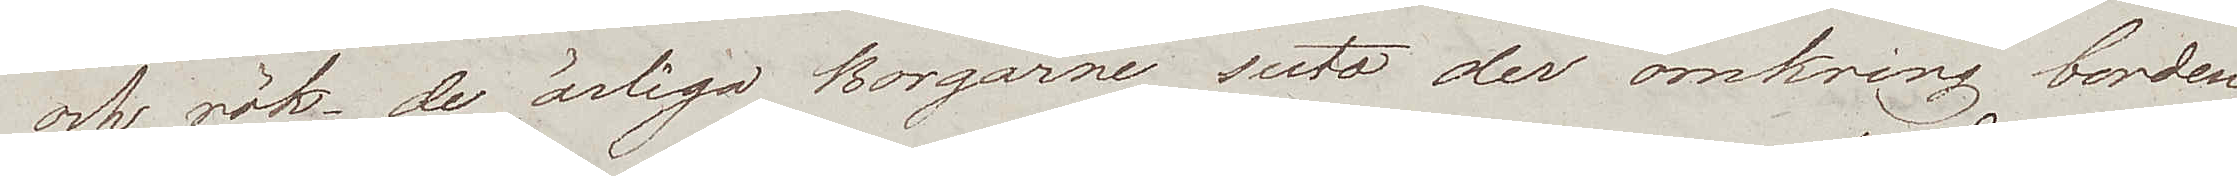och rök, de ärliga Borgarne suto der omkring borden
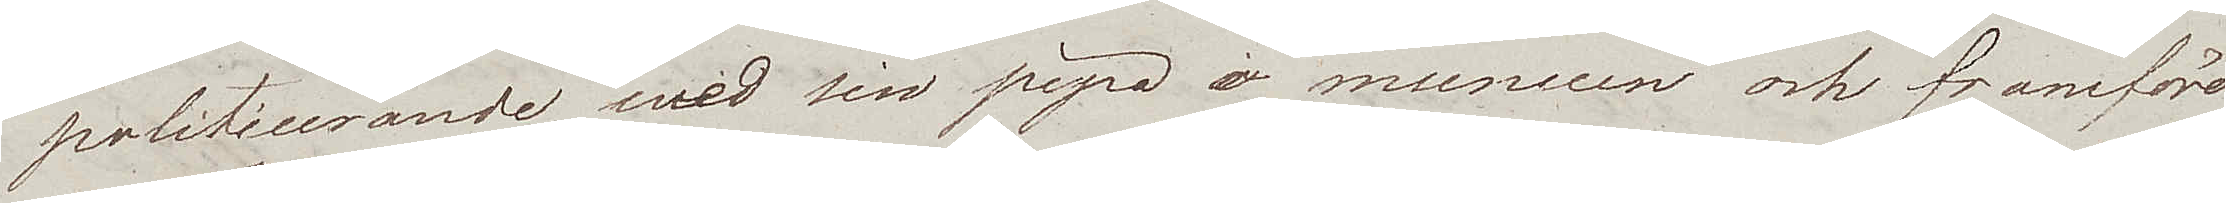politicerande, med sin pipa i munnen och framföre
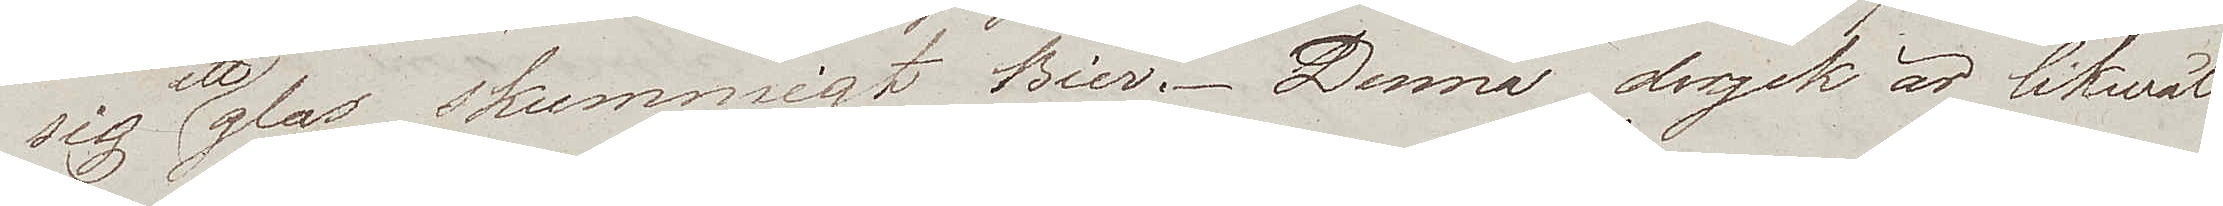sig ett glas skummigt Bier. Denna dryck är likwäl
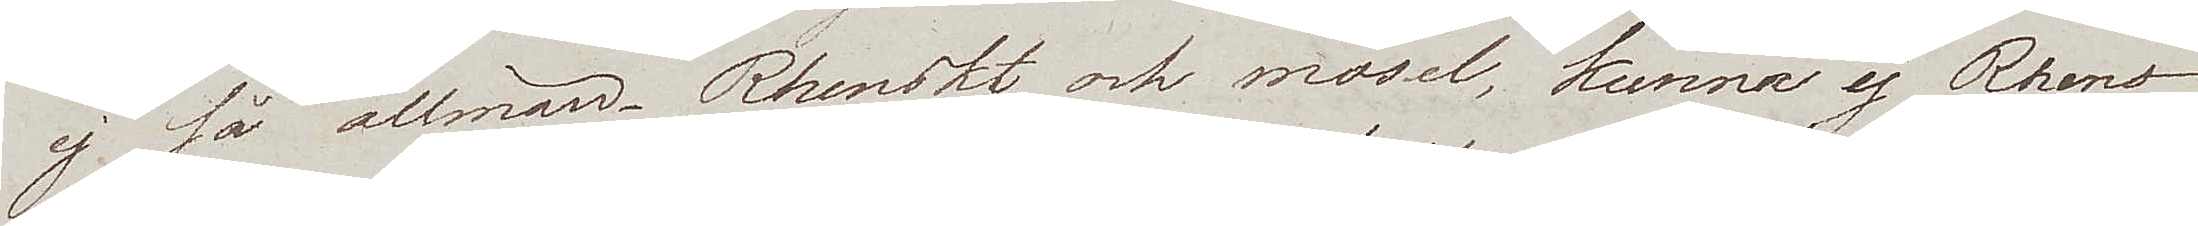ej så allmän. Rhenskt och mosel, kunna ej Rhens¬
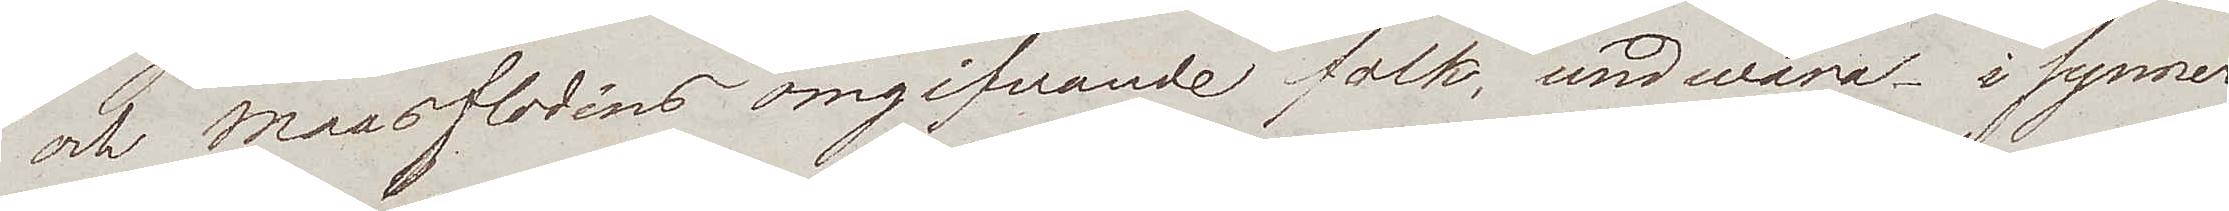och Maasflodens omgifvande folk, undwara – i synner¬
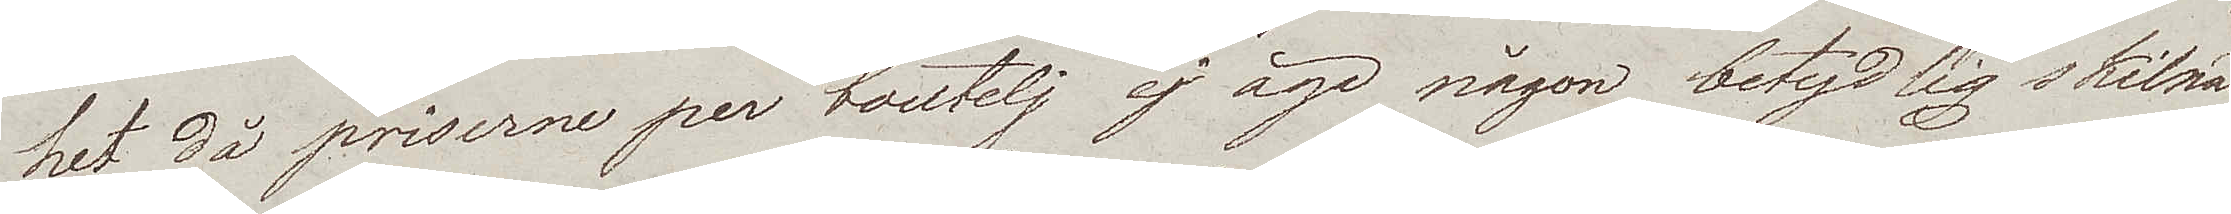het då priserne per boutelj ej äga någon betydlig skilnad.
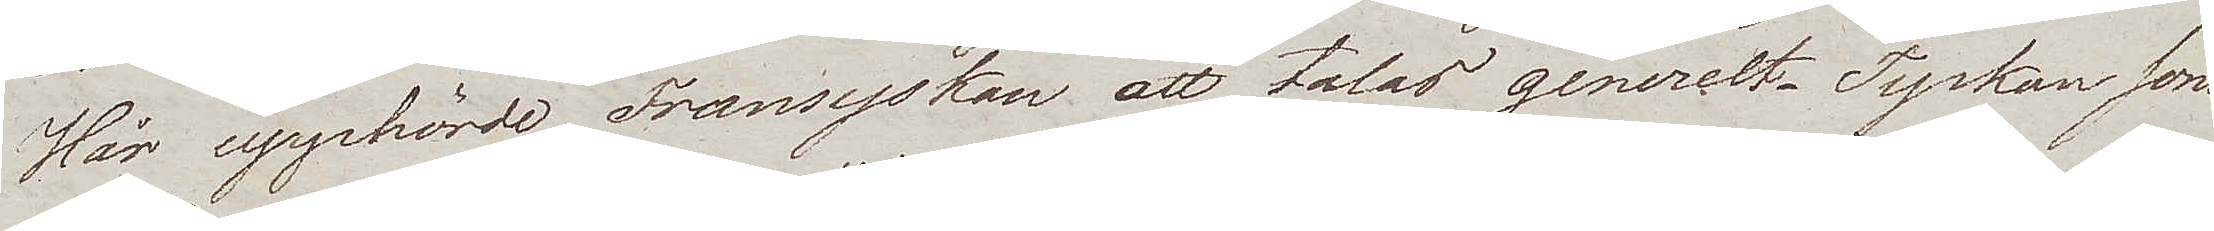Här upphörde Fransyskan att talas generelt. Tyskan som
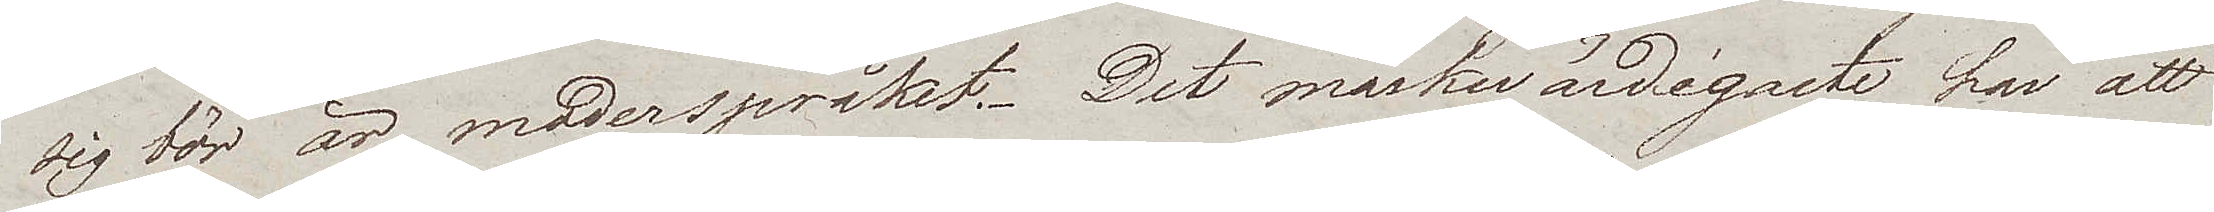sig bör är moderspråket. Det märkwärdigaste har att
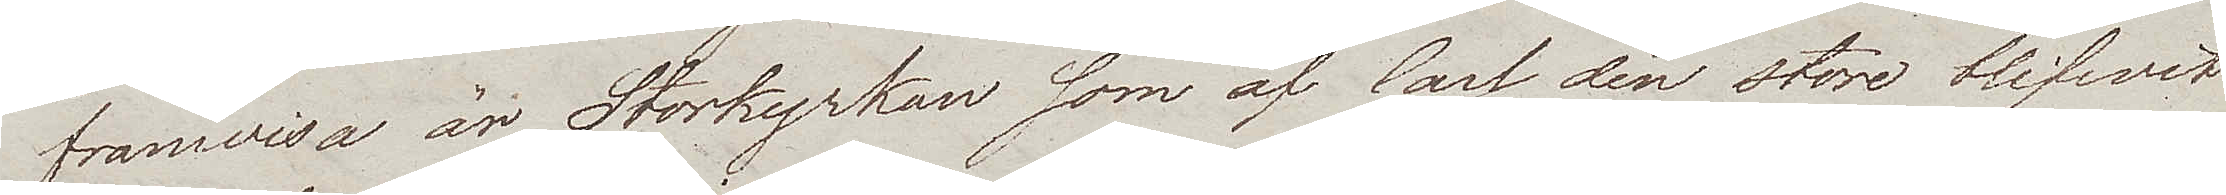framwisa är Storkyrkan som av Carl den store blifwit
